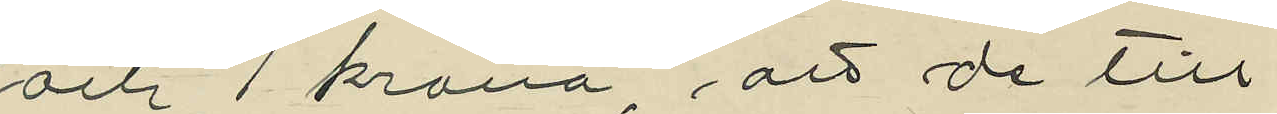och 1 krona, att de till¬
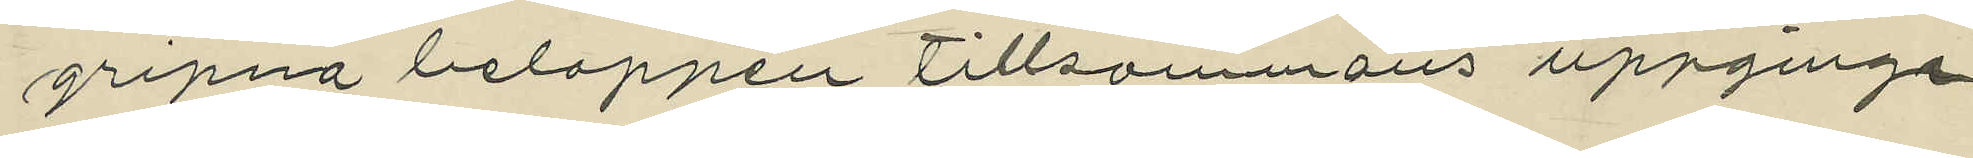gripna beloppen tillsammans uppginge
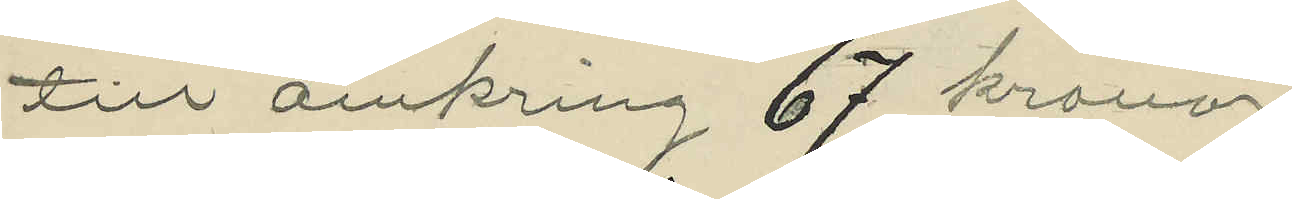till omkring 67 kronor;
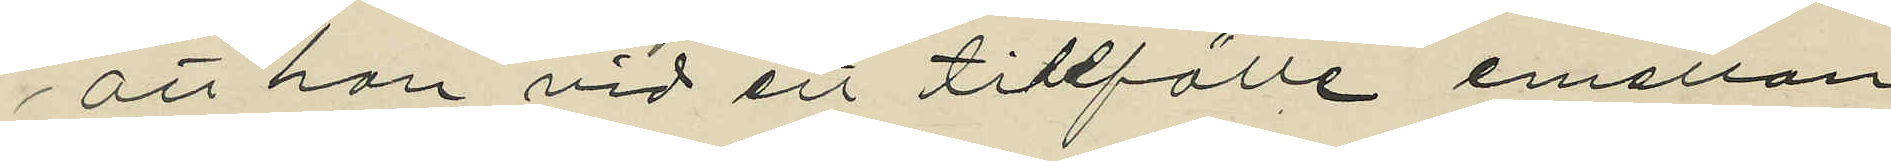att han vid ett tillfälle emellan
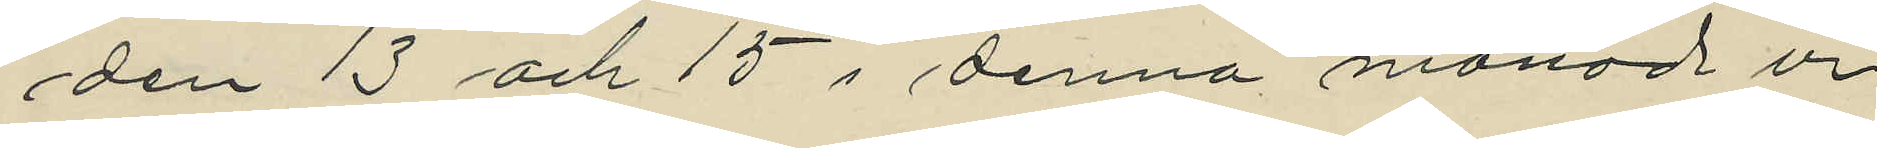den 13 och 15 i denna månad ur
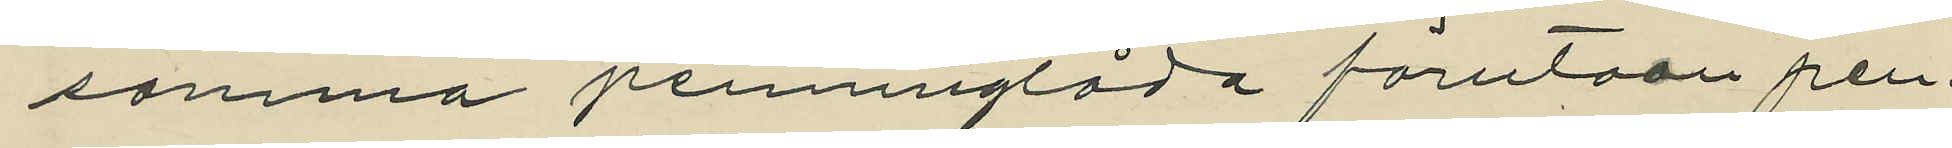samma penninglåda förutom pen¬
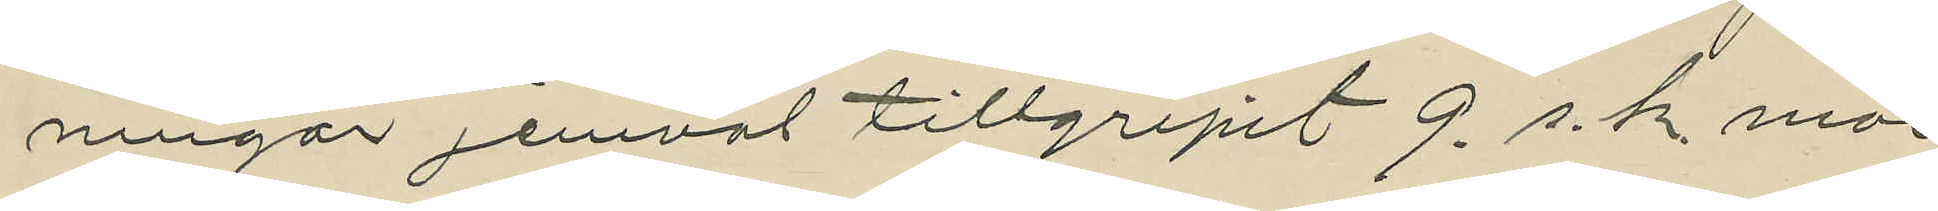ningar jemväl tillgripit 9 s.k. mar¬
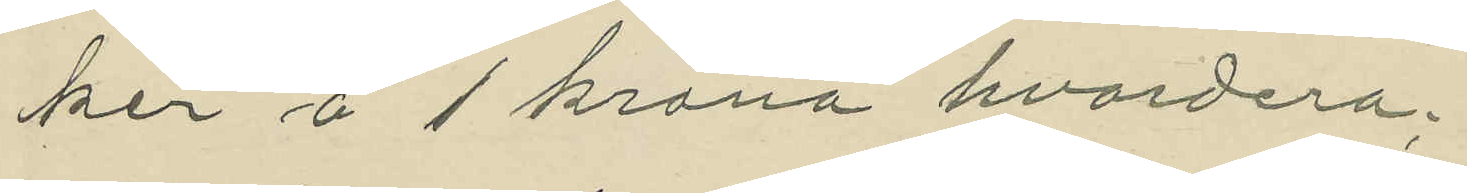ker å 1 krona hvardera;
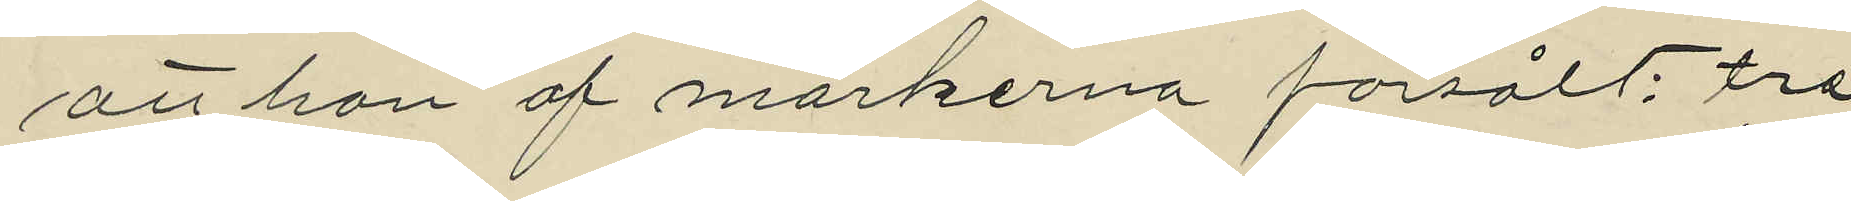att han af markerna försålt: tre
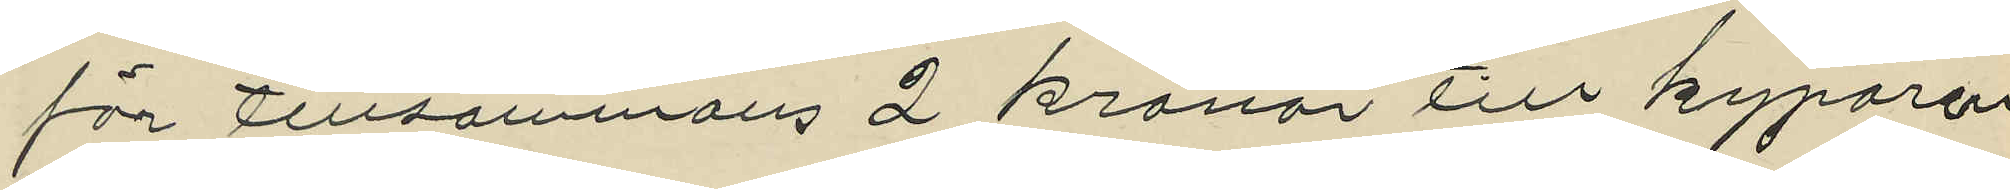för tillsammans 2 kronor till kyparen
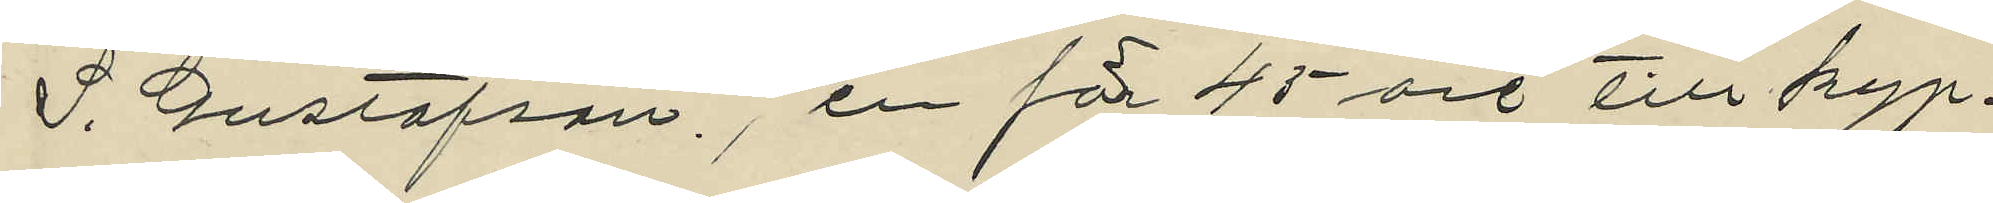S. Gustafson, en för 45 öre till kyp¬
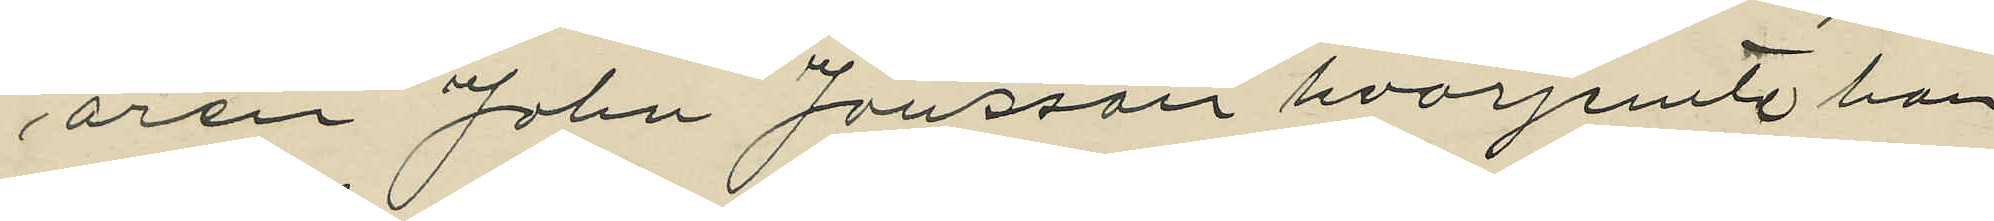aren John Jansson hvarjemte han
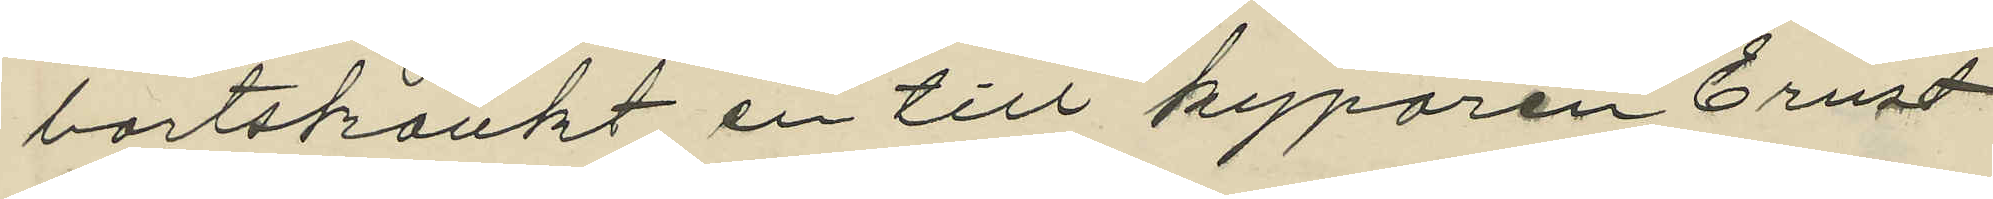bortskänkt en till kyparen Ernst
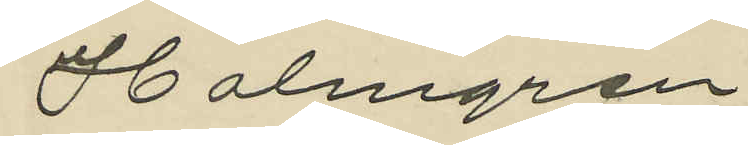Holmgren.
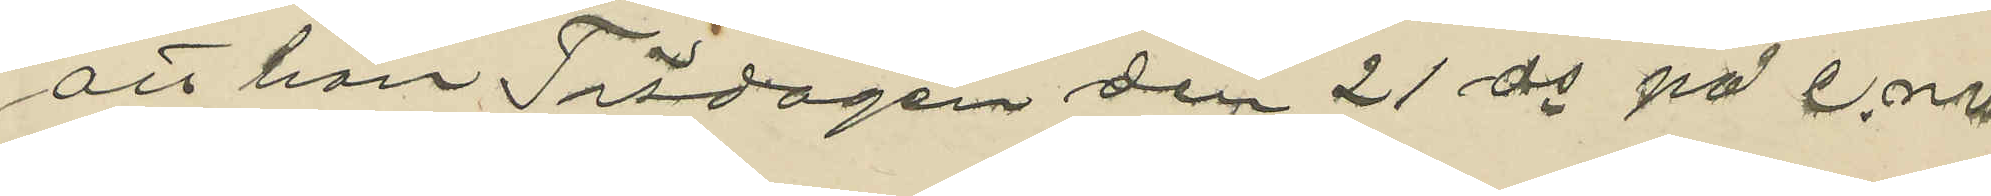att han Tisdagen den 21 ds på e.m.
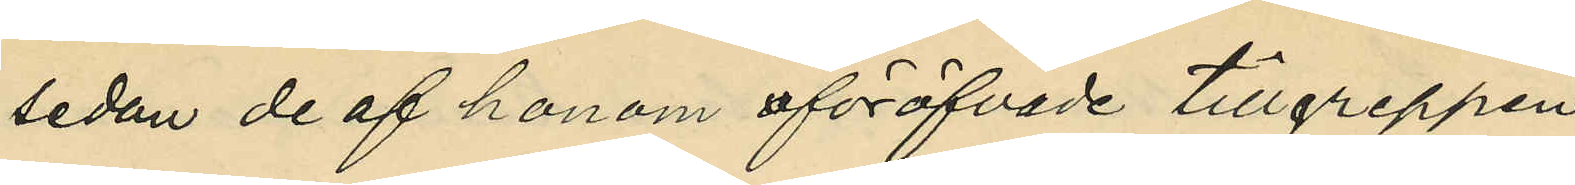sedan de af honom föröfvade tillgreppen
